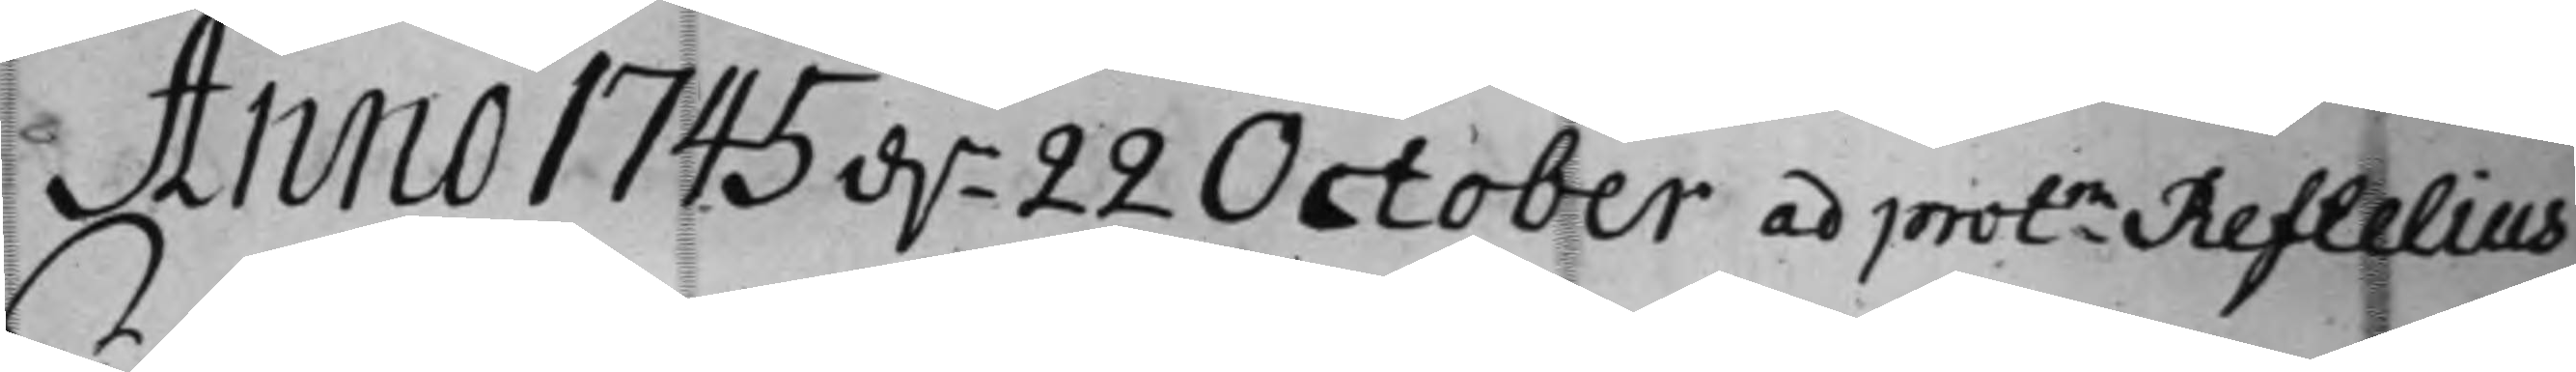Anno 1745 d. 22 October ad protm Reftelius
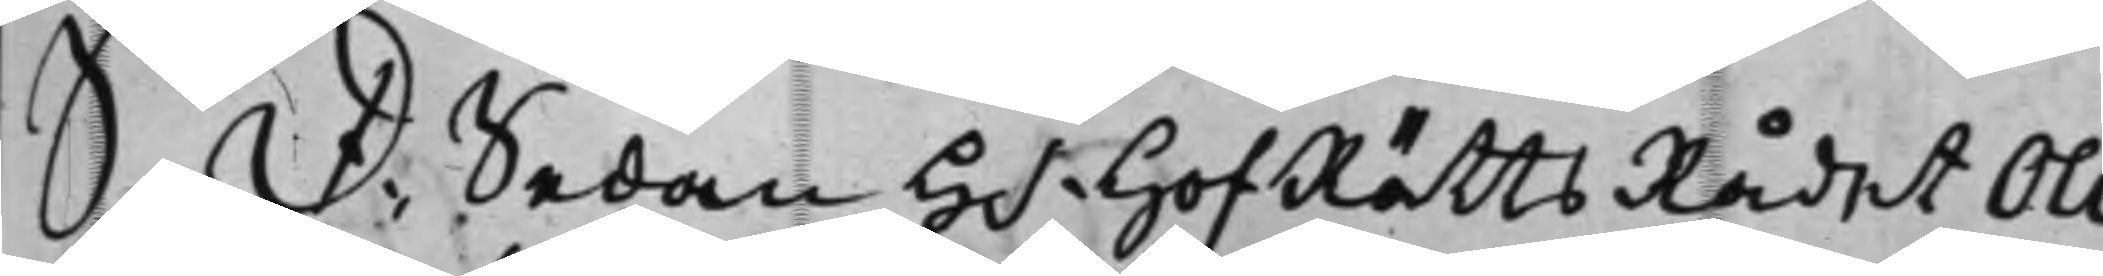S: D: Sedan H.r HofRättsRådet Oli¬
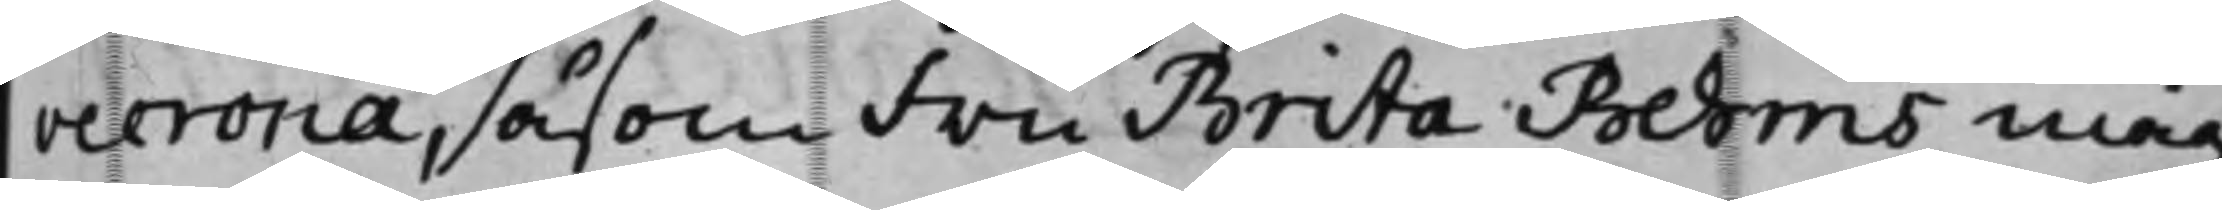vecrona, såsom Fru Brita Behms måg,
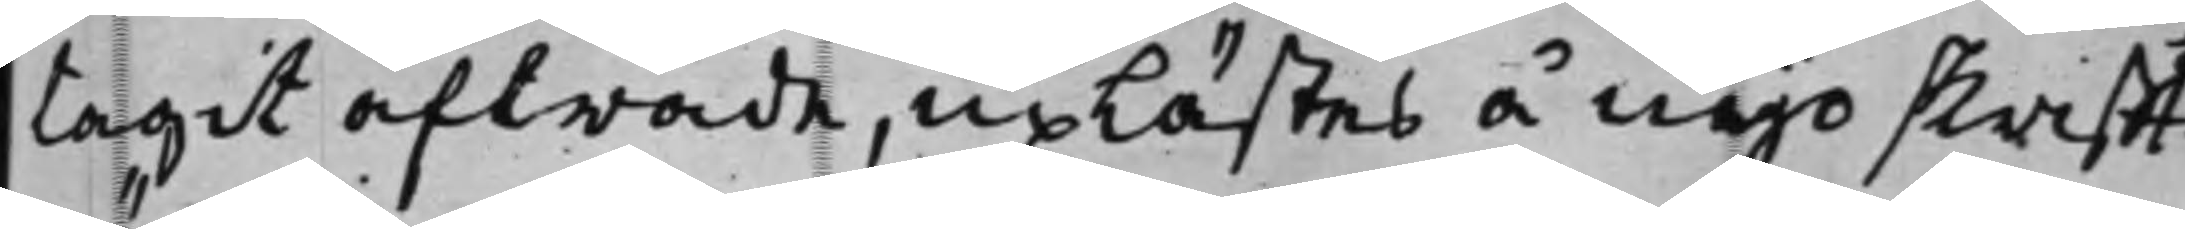tagit afträde, uplästes å nyo skrifft¬
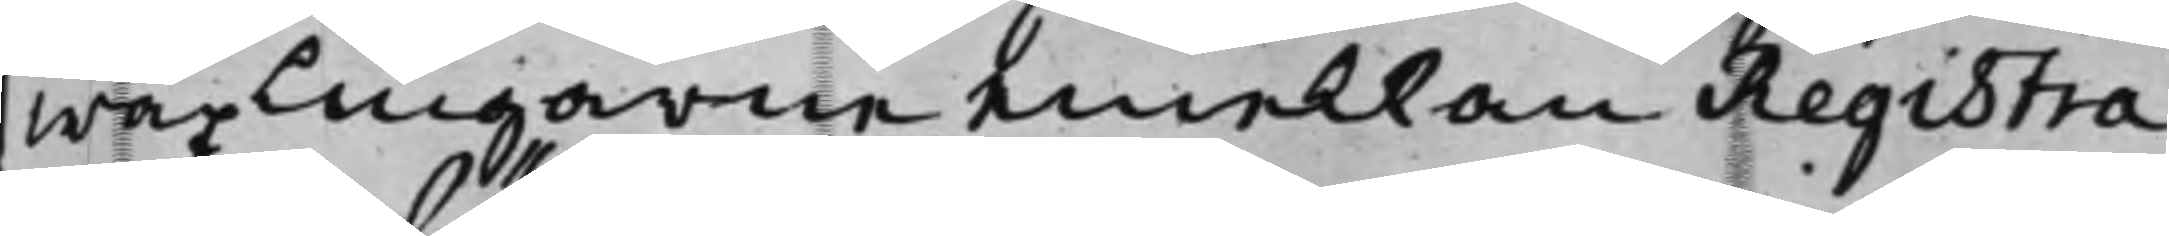wäxlingarne emellan Registra¬
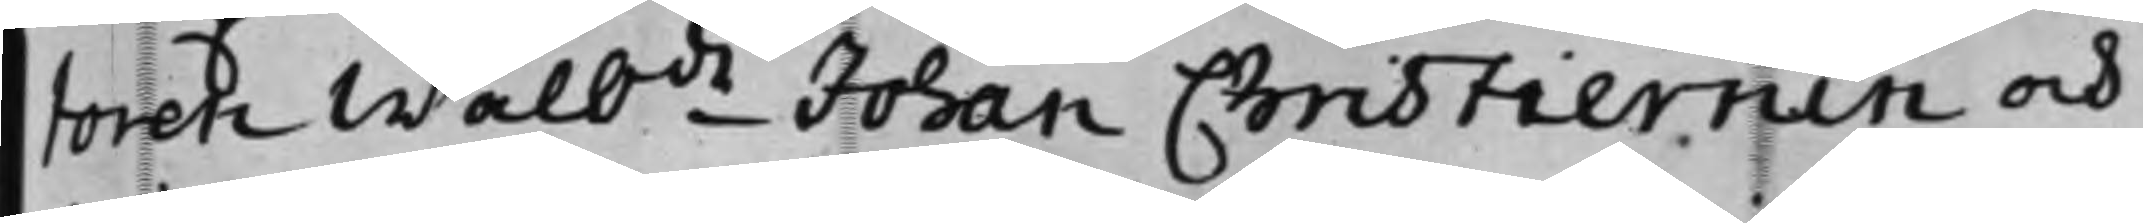toren Wälbde Johan Christiernin och
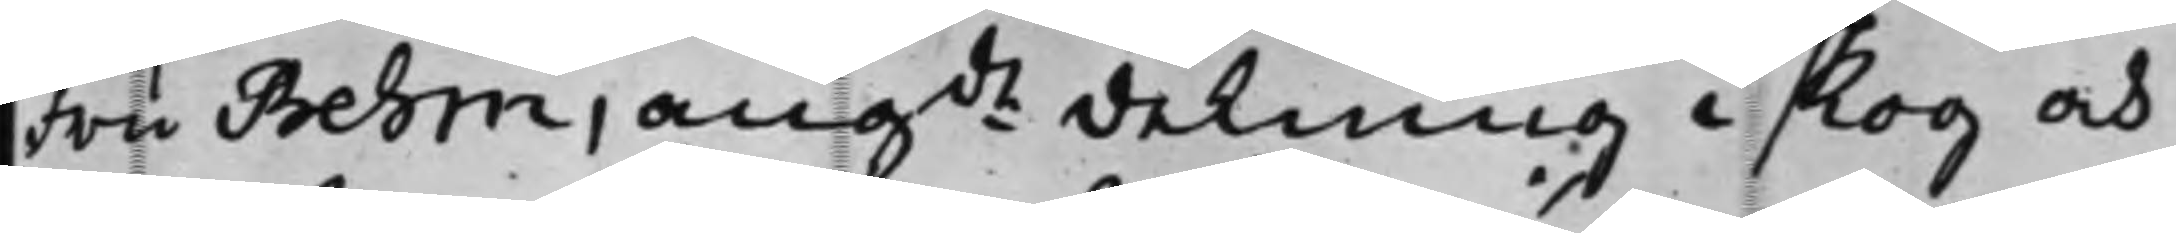Fru Behm, angde delning i skog och
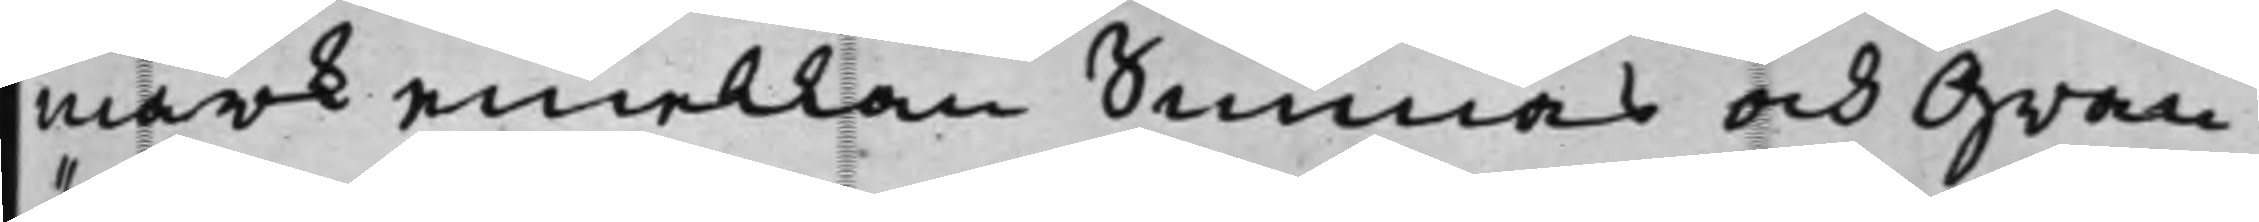mark emellan Sunnäs och Gran¬
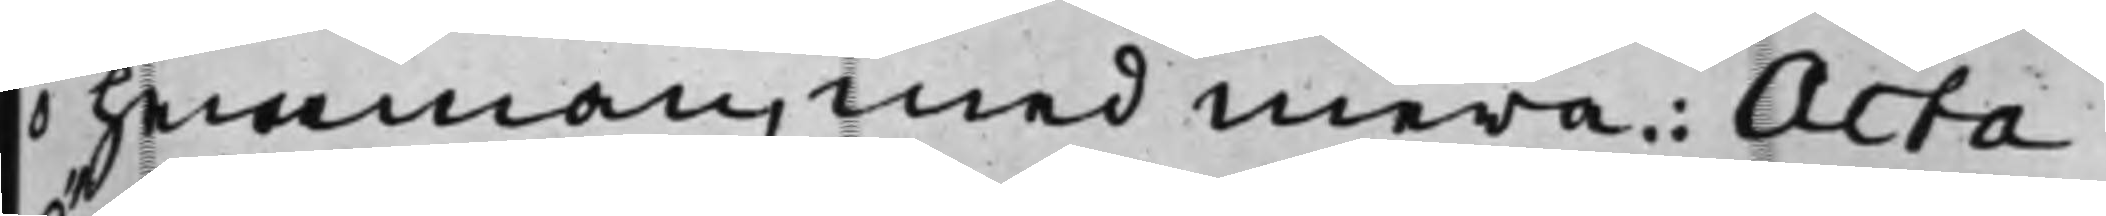ö hemman, med mera: Acta
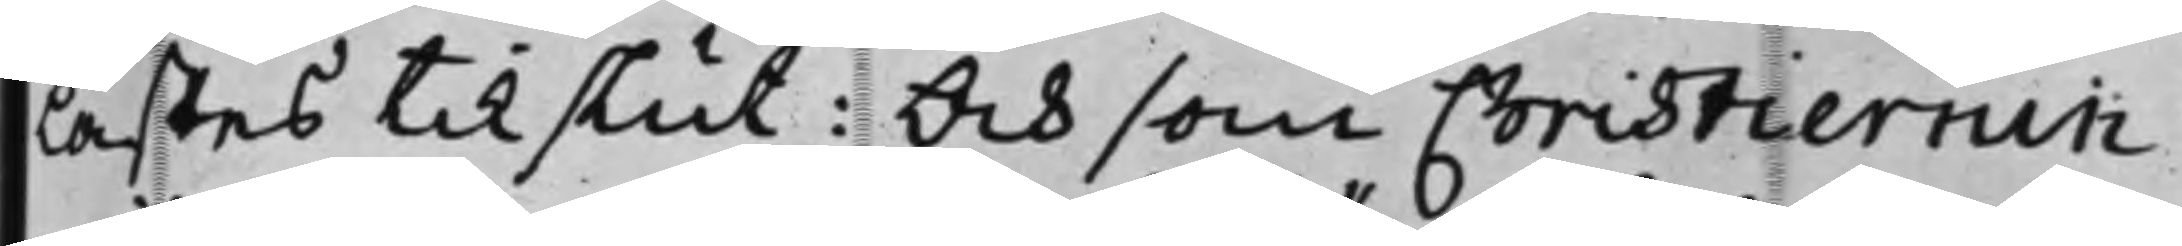lästes til slut: Och som Christiernin
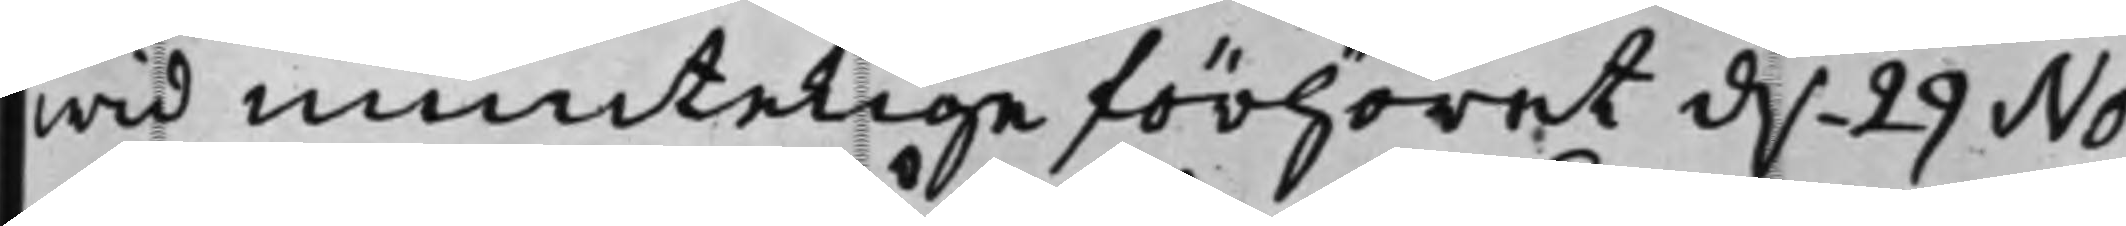wid muntelige förhöret d. 29 No¬
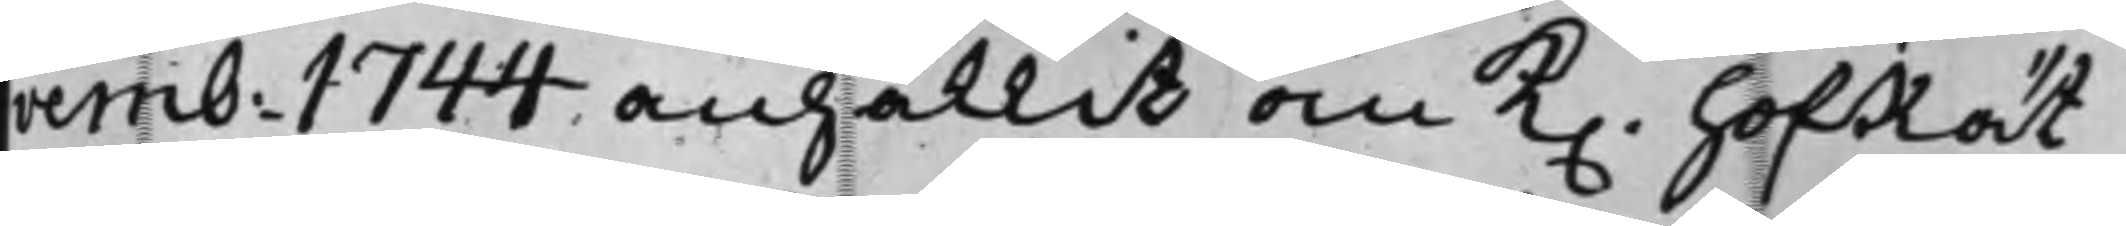vemb: 1744 anhållit om K. HofRät¬
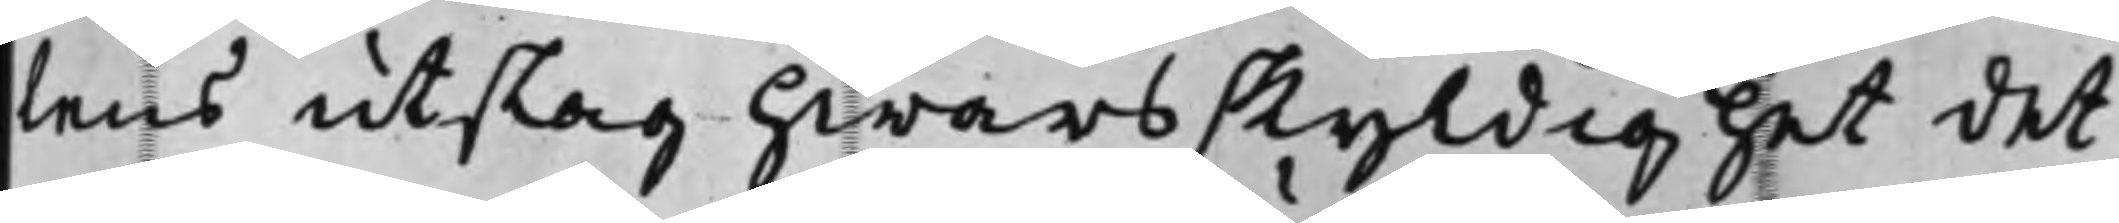tens utslag hwars skyldighet det
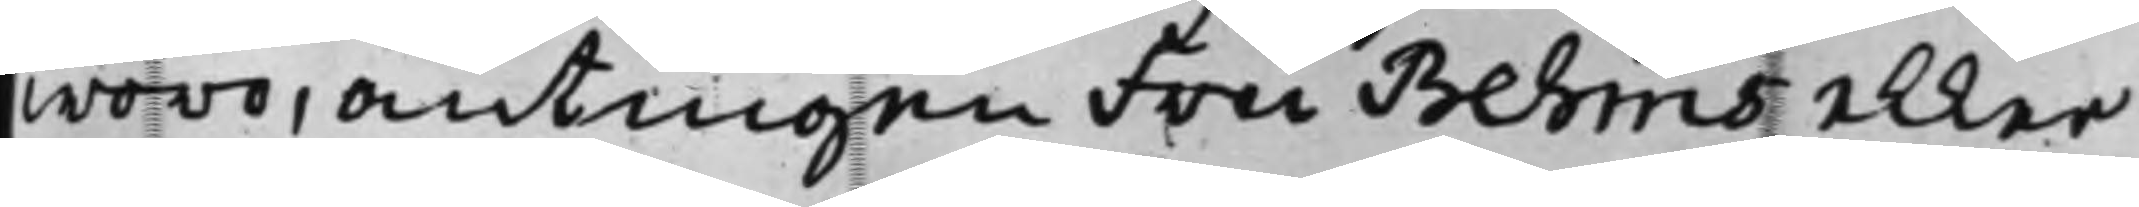woro, antingen Fru Behms eller
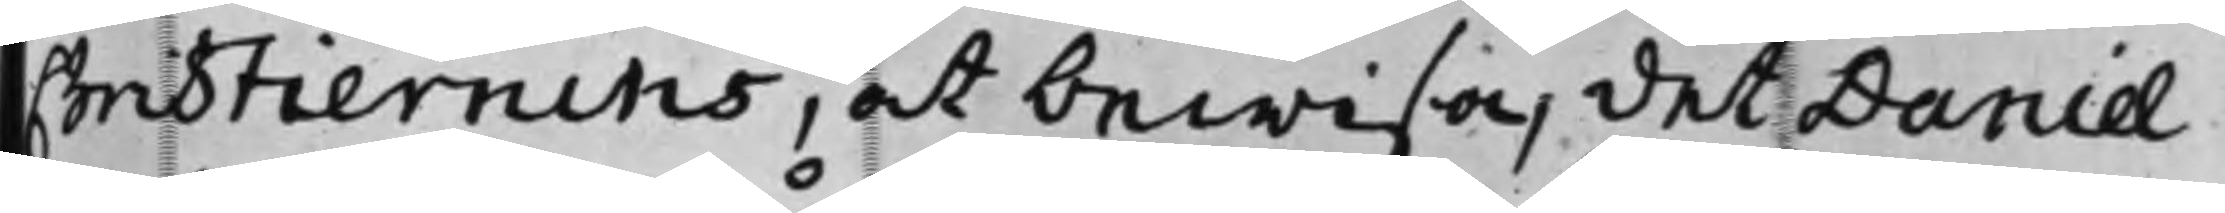Chistiernins, at bewisa, det Daniel
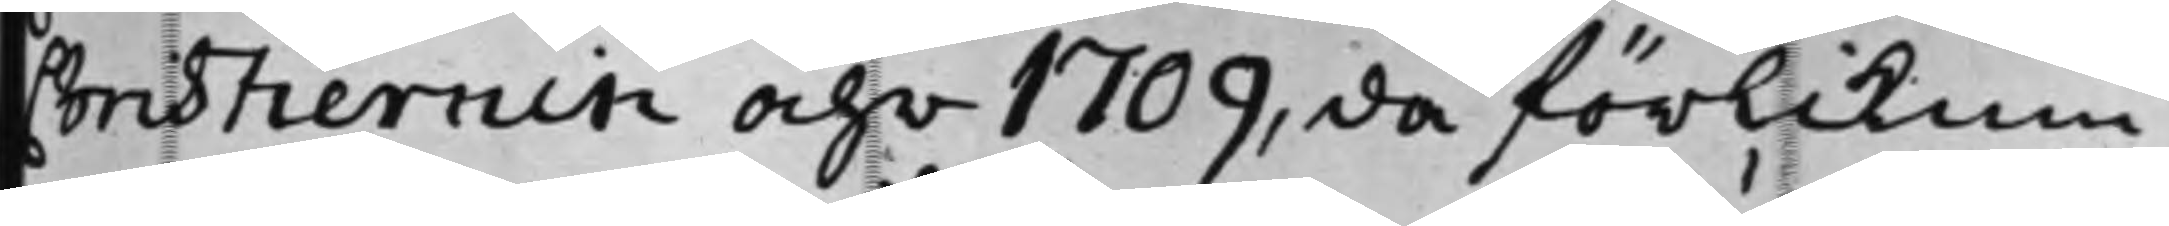Christiernin åhr 1709, då förliknin¬
